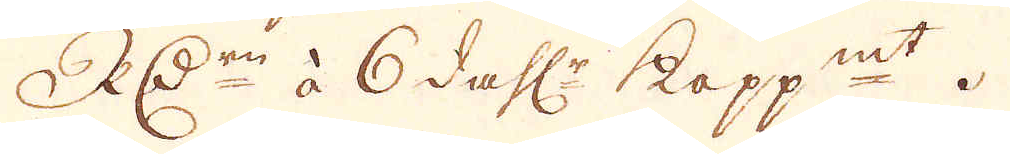RD:r à 6 dahl:r kopp:mt.
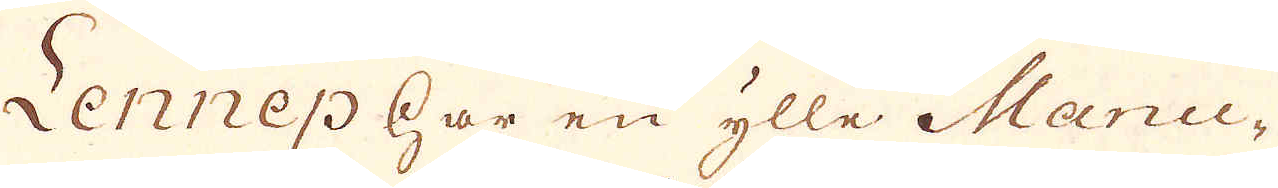Lennep har en ylle Manu-
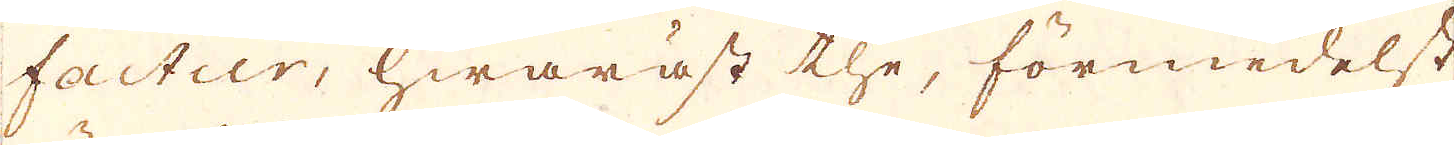factur, hwaräst the, förmedelst
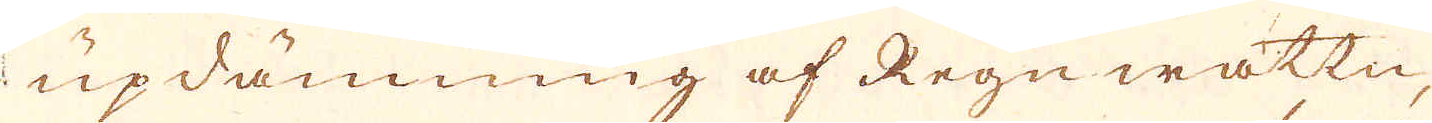updämning af Regn wattn,
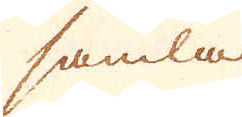samla
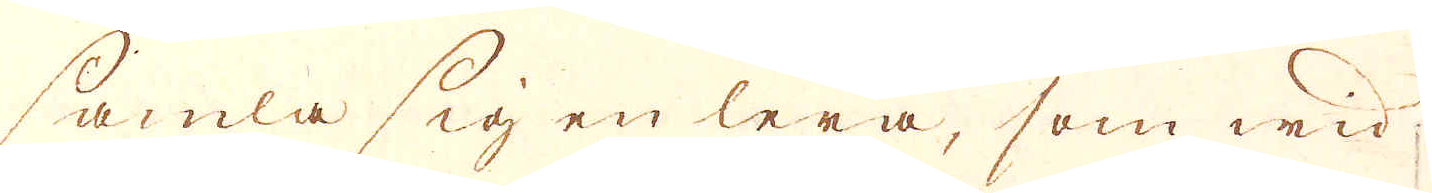samla sig en lera, som wid
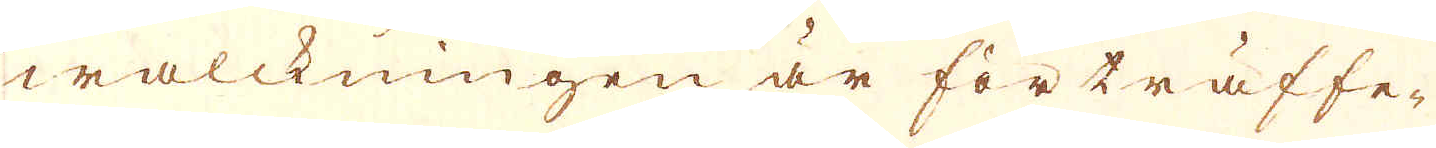walckningen är förträffe-
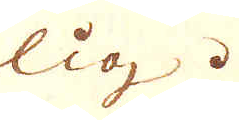lig.
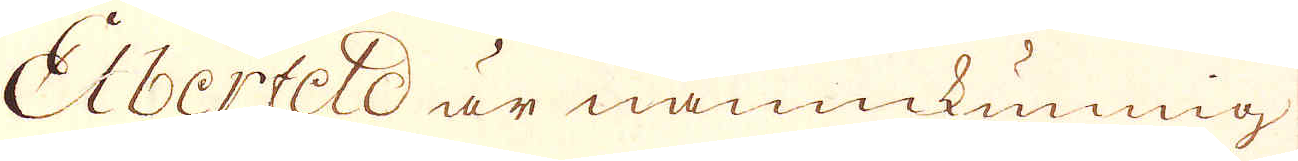Elberfeld är namnkunnig
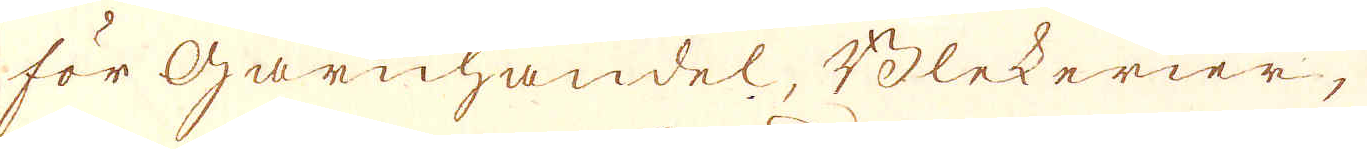för Garnhandel, Blekerier,
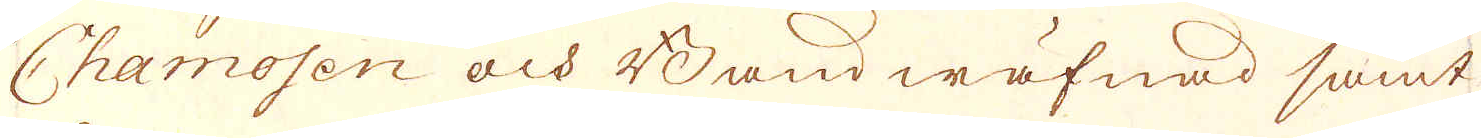Chamosen och Band wäfnad samt
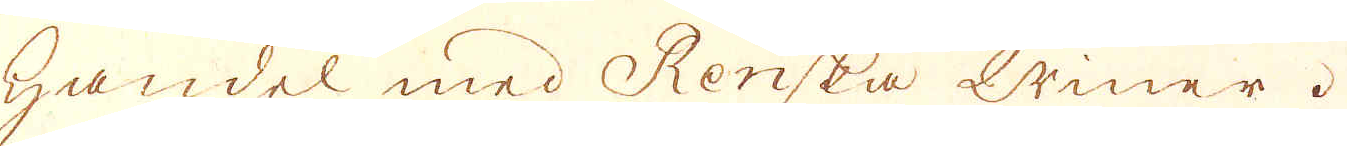Handel med Renska Winer.
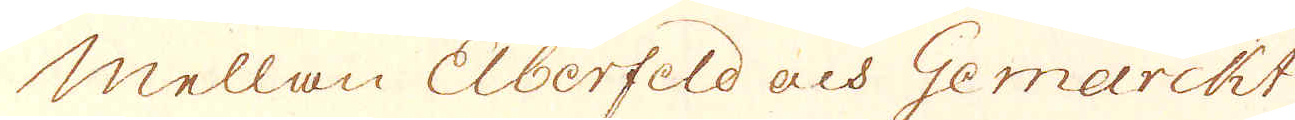Mellan Eberfeld och Gemarckt
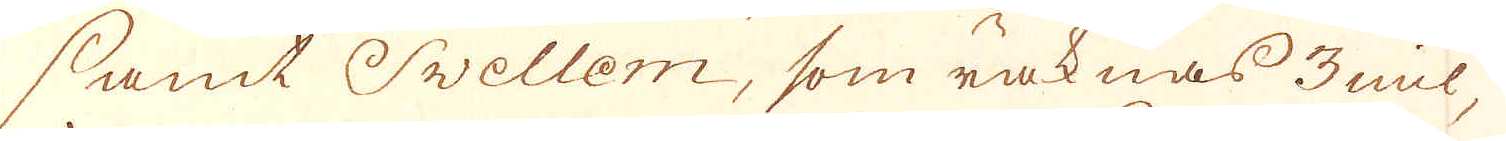samt Swellem, som räknas 3 mil,
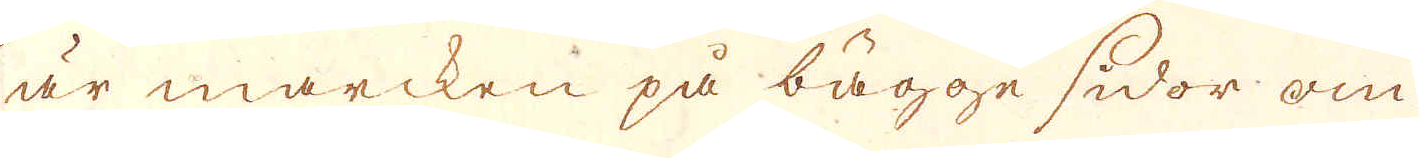är marcken på bägge sidor om
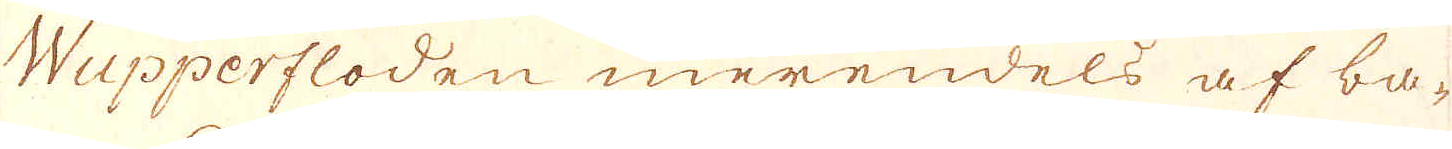Wupperfloden merendels af ba-
